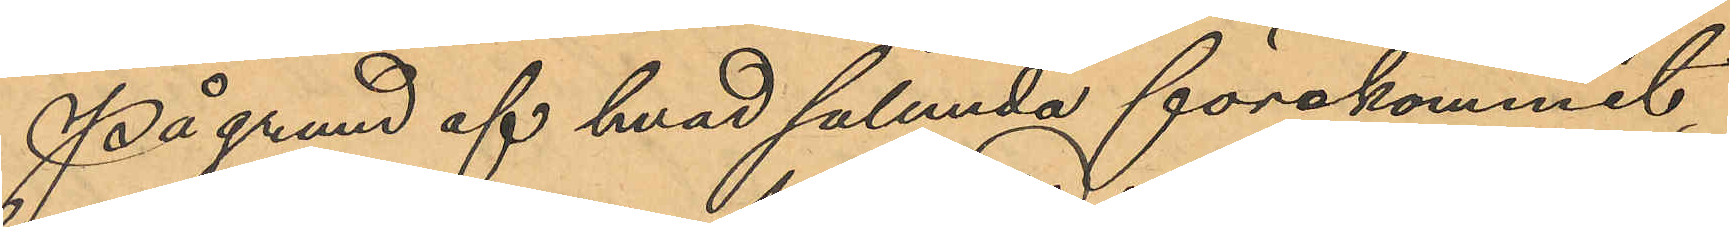På grund af hvad sålunda förekommit
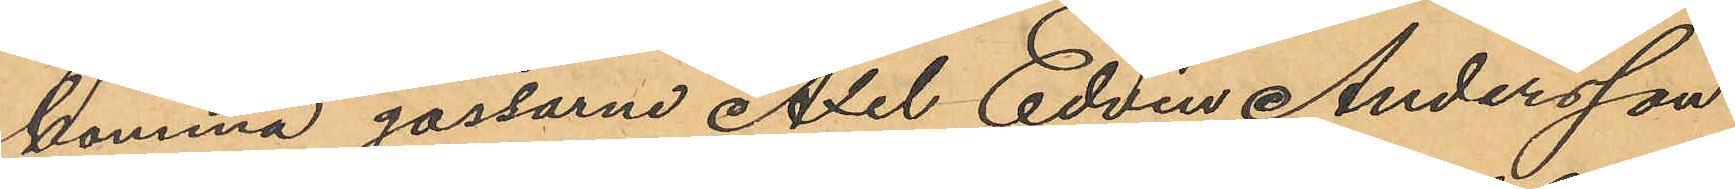komma gossarne Axel Edvin Andersson
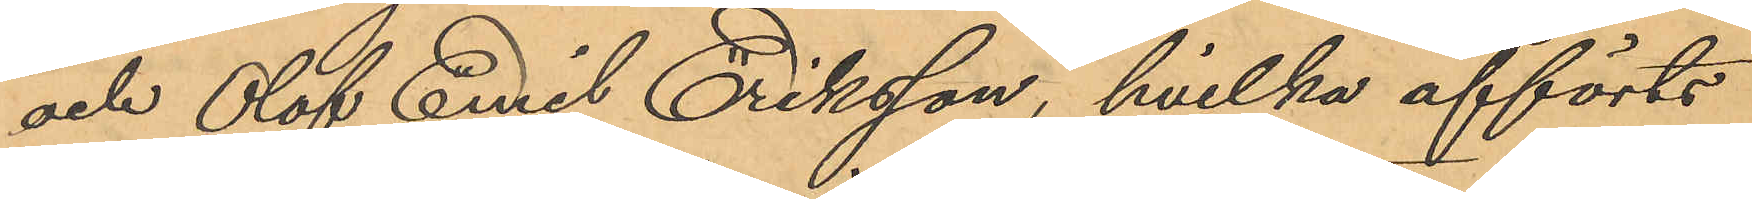och Olof Emil Eriksson, hvilka afförts
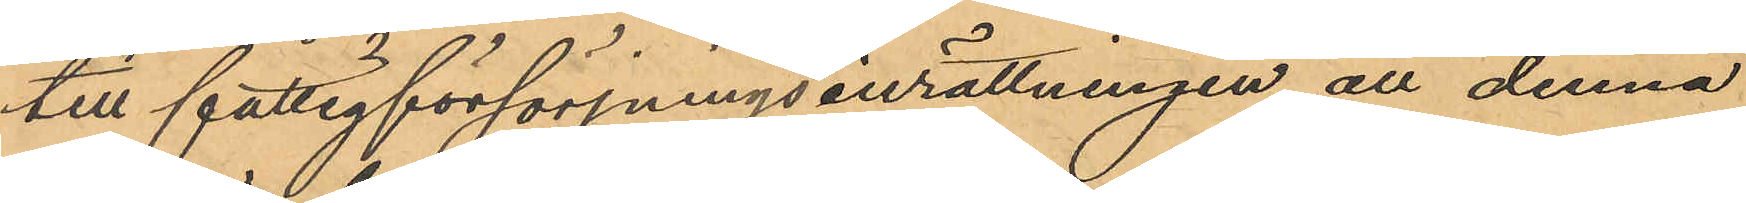till fattigförsörjningsinrättningen, att denna
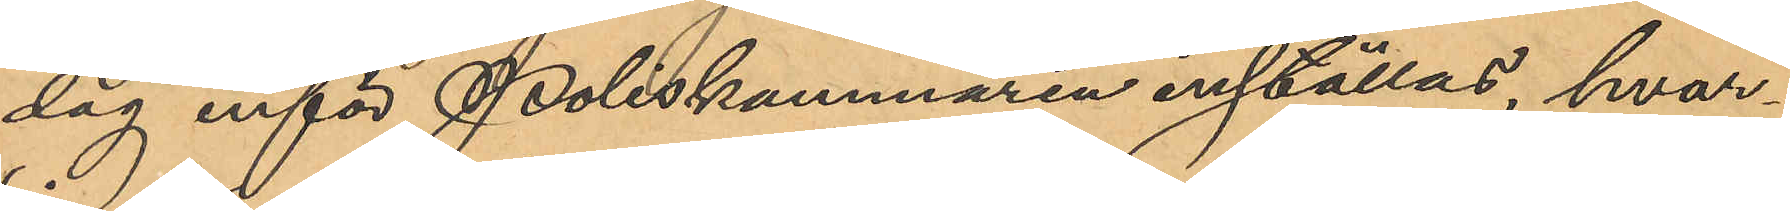dag inför Poliskammaren inställas, hvar¬
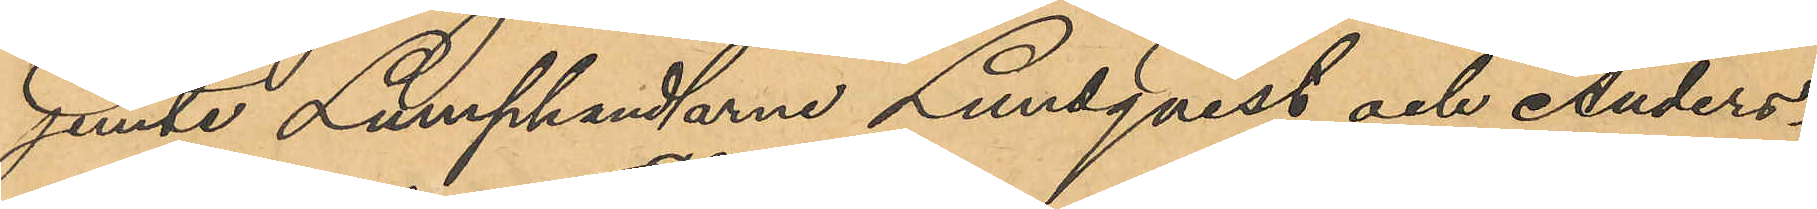jemte Lumphandlarne Lundqvist och Anders¬
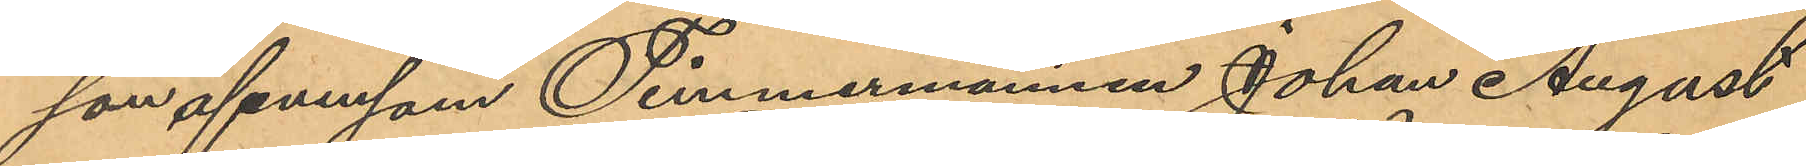son, äfvensom Timmermannen Johan August
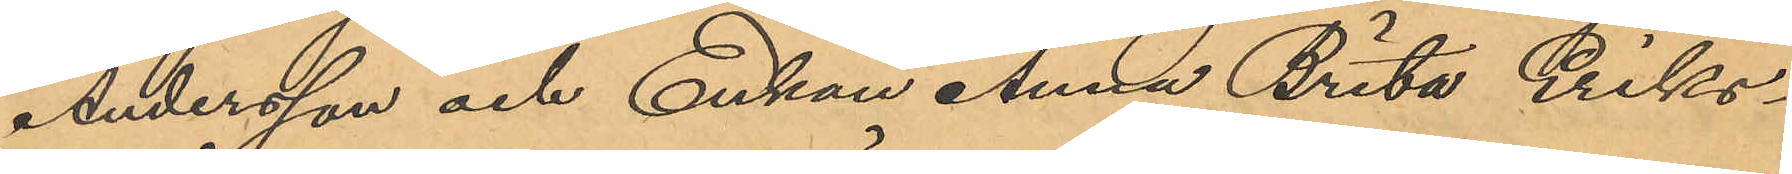Andersson och Enkan Anna Brita Eriks¬
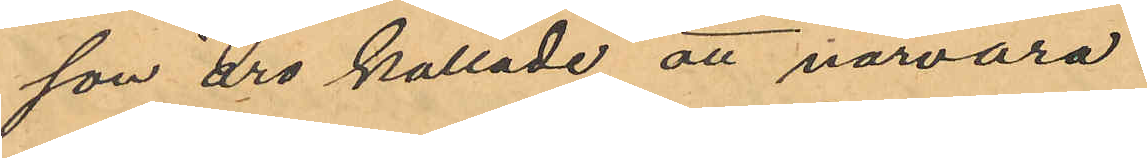son äro kallade att närvara.
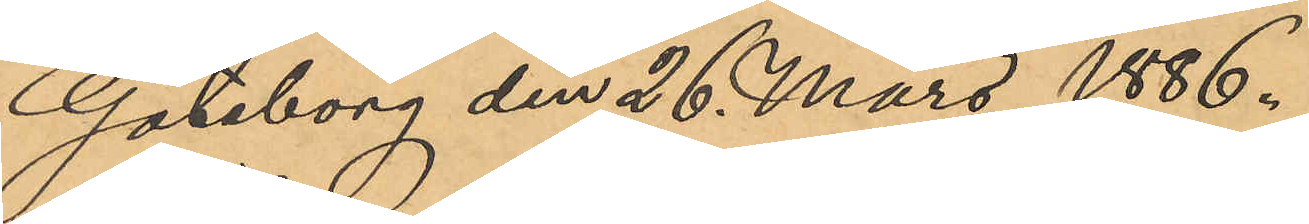Göteborg den 26 Mars 1886.
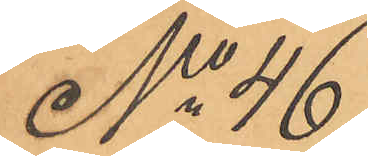No 46
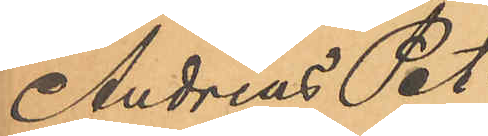Andreas Pet¬
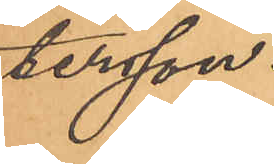tersson.
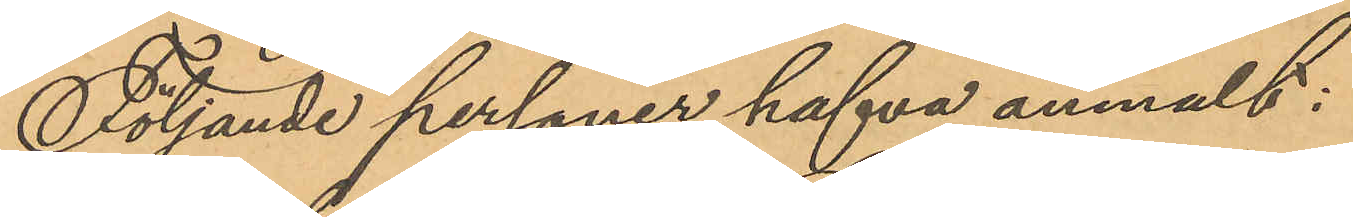Följande personer hafva anmält:
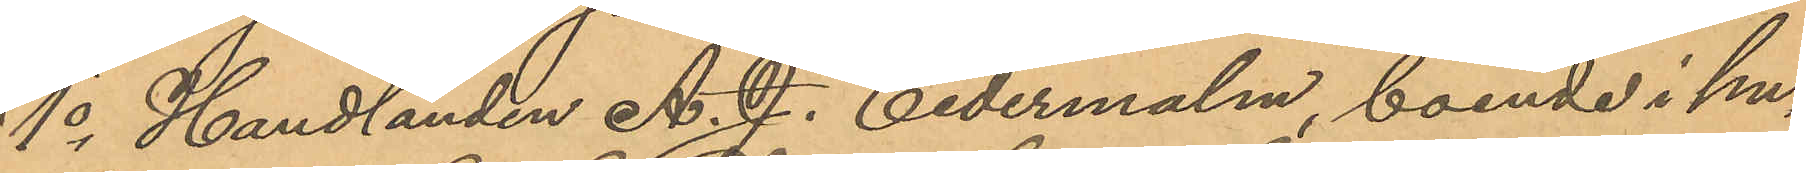1o Handlanden A. J. Cedermalm, boende i hu¬
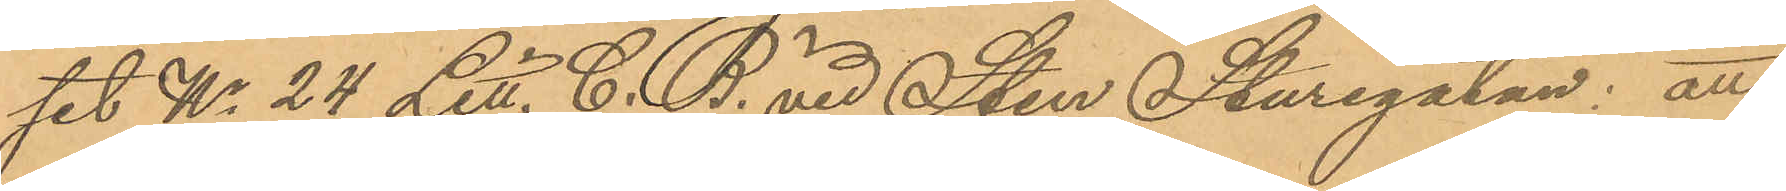set No 24 Litt. C. B. vid Sten Sturegatan: att
